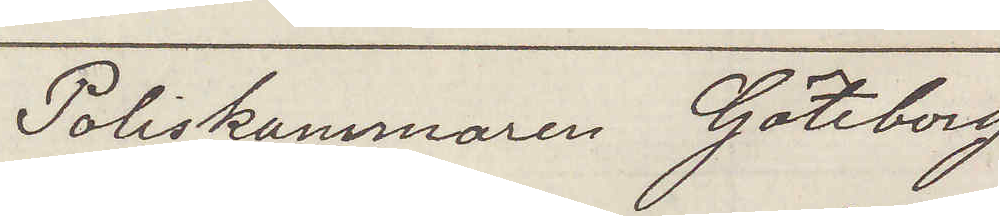Poliskammaren Göteborg
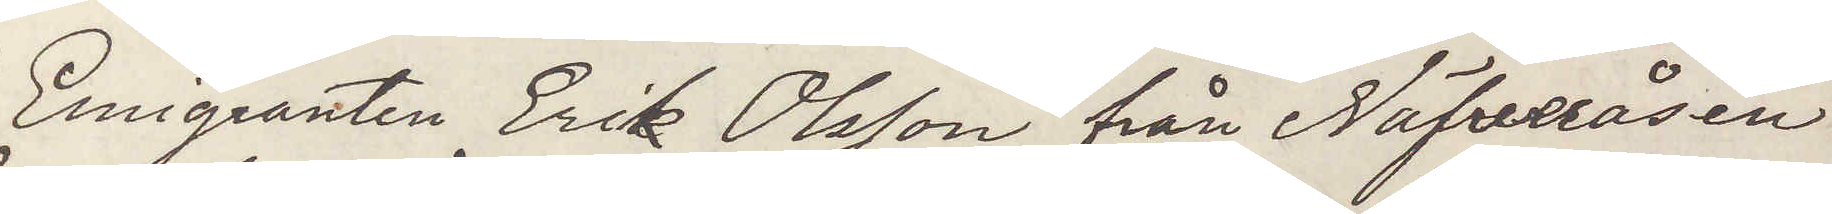Emigranten Erik Olsson från Näfveråsen
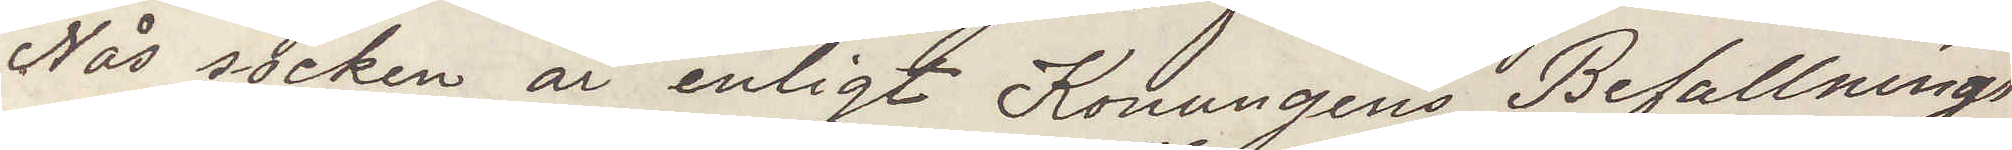Nås socken är enligt Konungens Befallnings¬
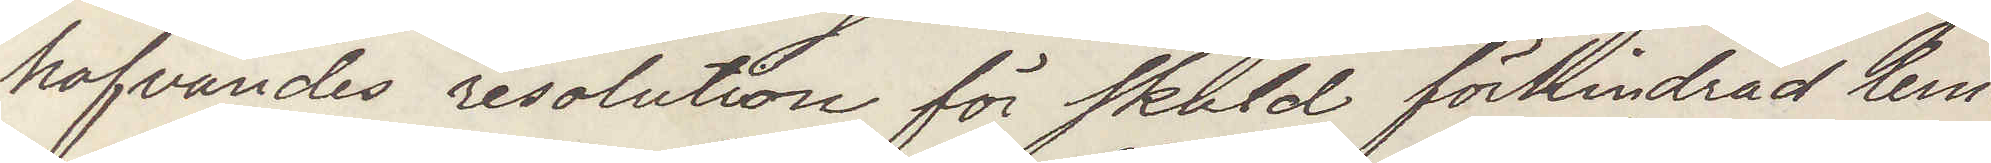hafvandes resolution för skuld förhindrad lem¬
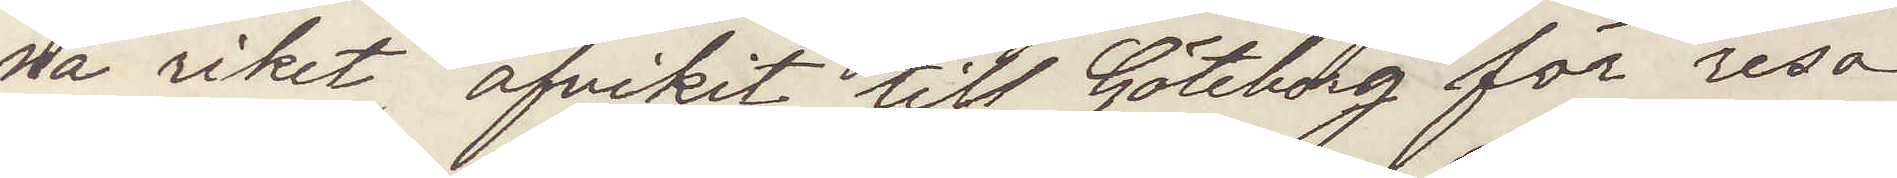na riket afvikit till Göteborg för resa
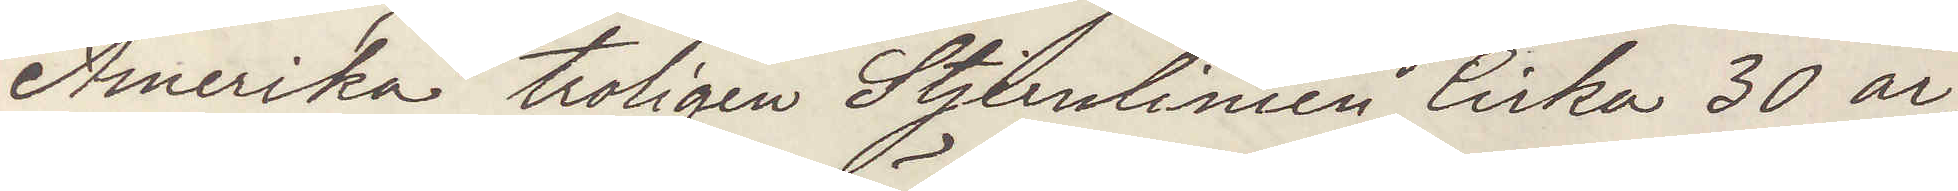Amerika troligen Stjernlinien, Cirka 30 år,
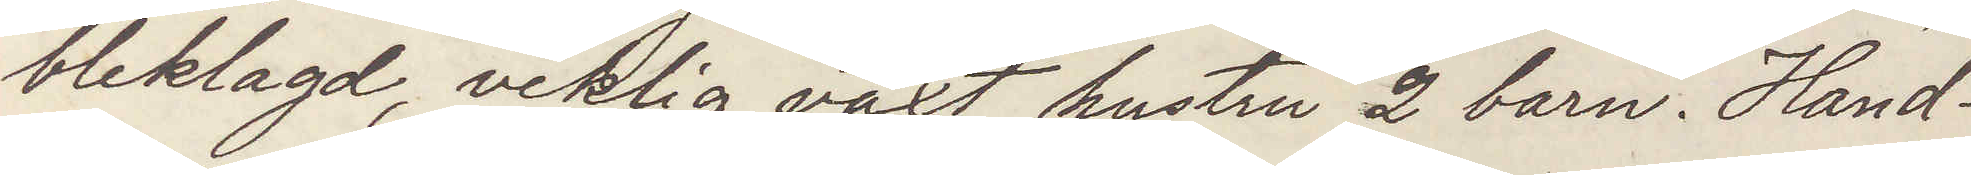bleklagd, veklig växt, hustru 2 barn. Hand¬
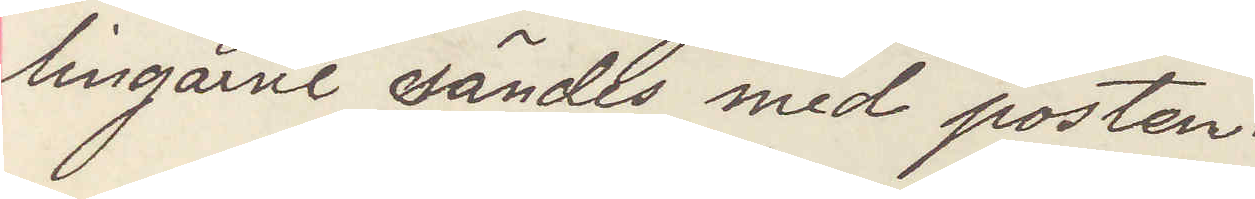lingarne sändes med posten.
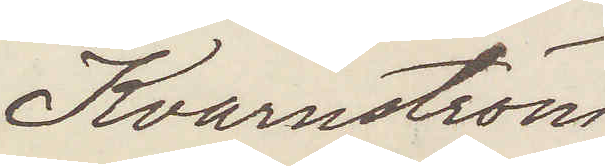Kvarnström
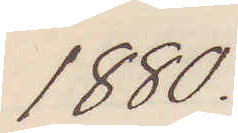1880.
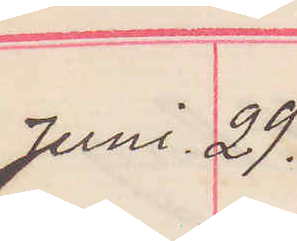Juni 29.
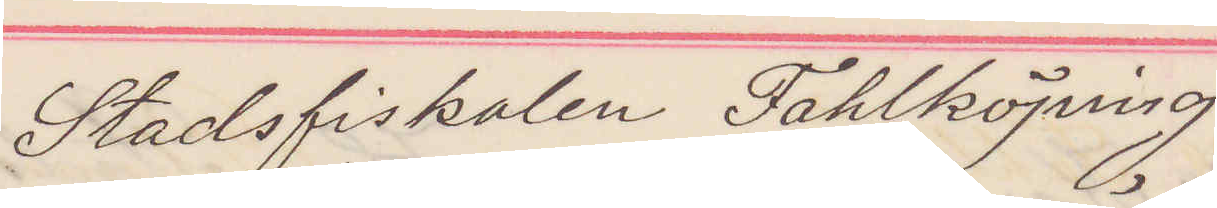Stadsfiskalen Fahlköping
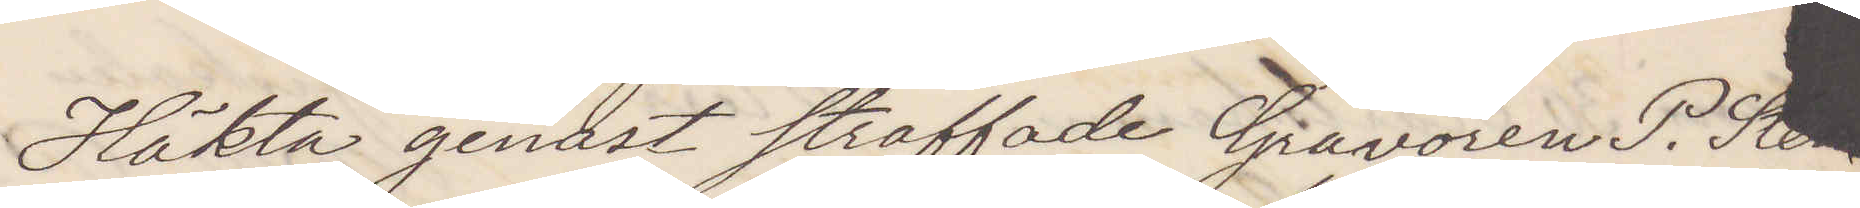Häkta genast straffade Gravören P. Sten¬
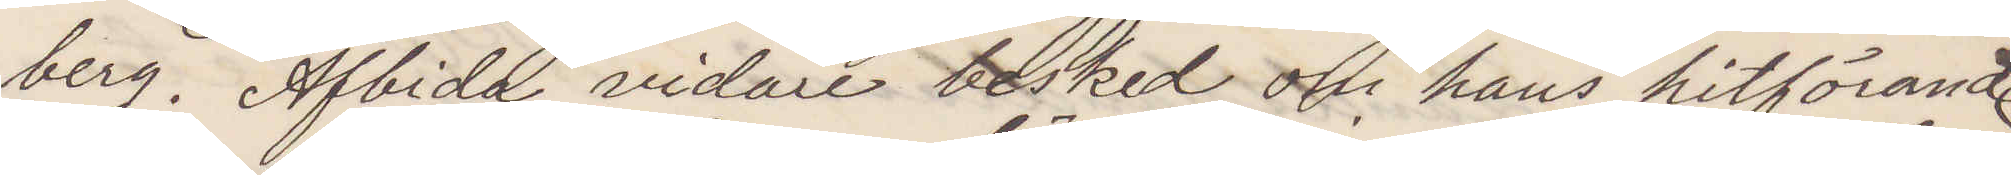berg. Afbida vidare besked om hans hitförande
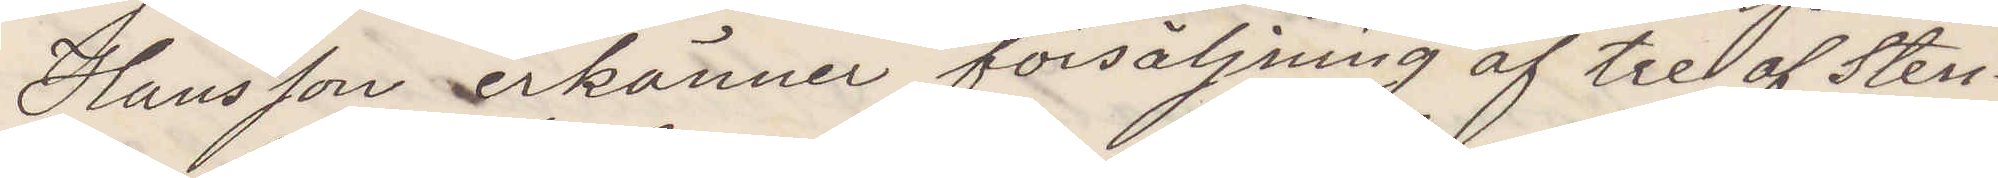Hansson erkänner försäljning af tre af Sten¬
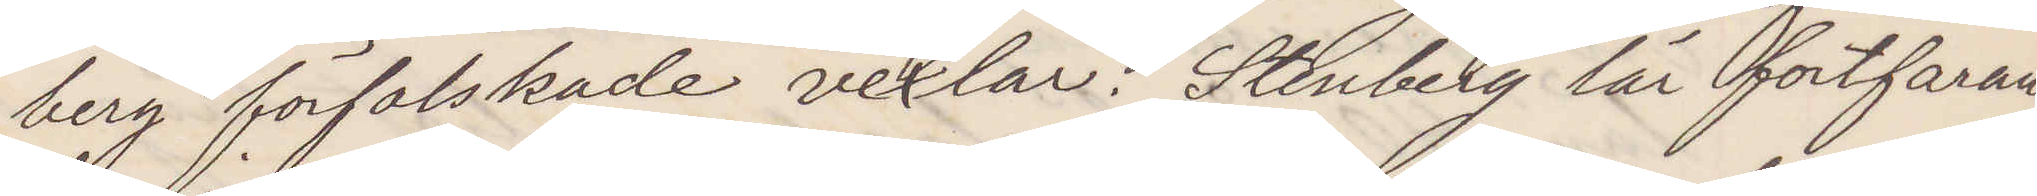berg förfalskade vexlar. Stenberg lär fortfaran¬
